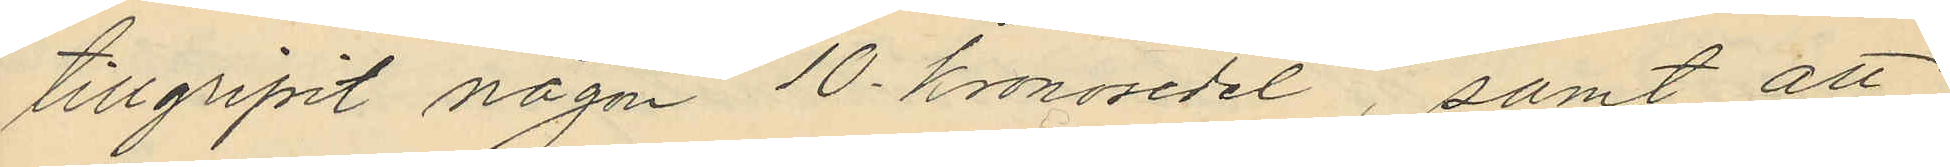tillgripit någon 10 kronosedel, samt att
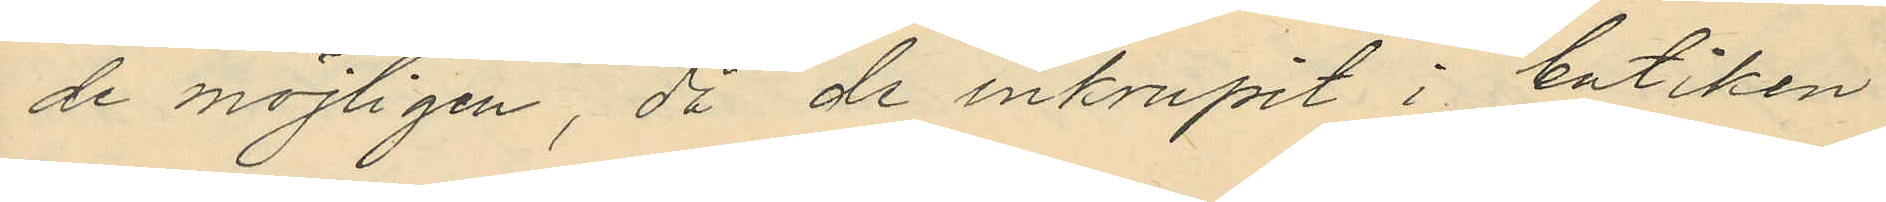de möjligen, då de inkrupit i butiken
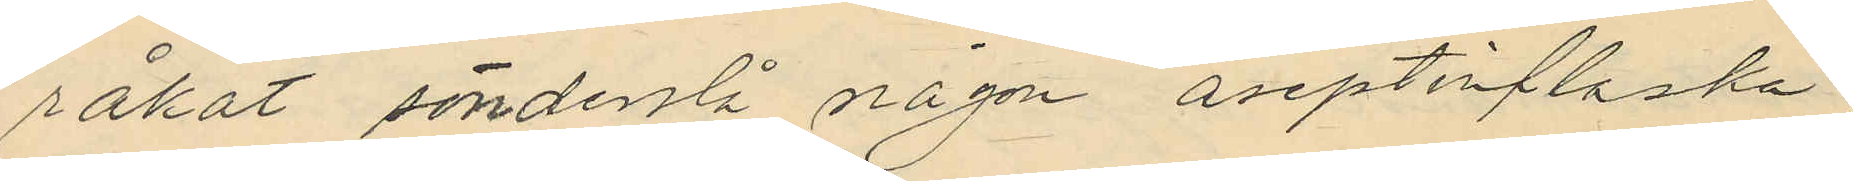råkat sönderslå någon aseptinflaska
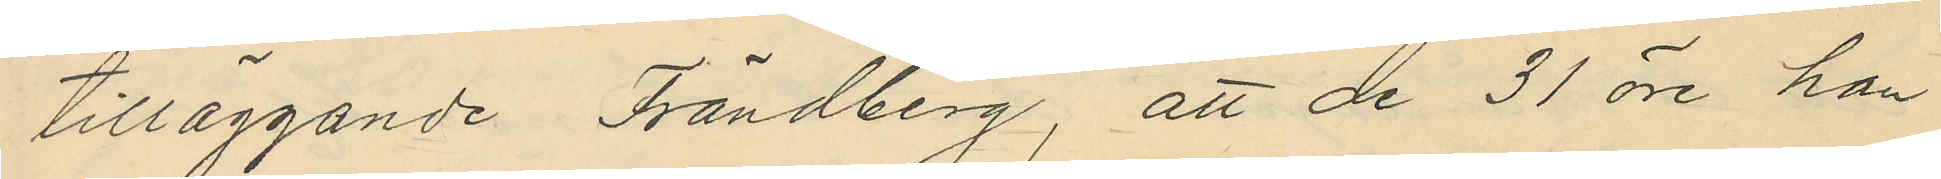tilläggande Frändberg, att de 31 öre, han
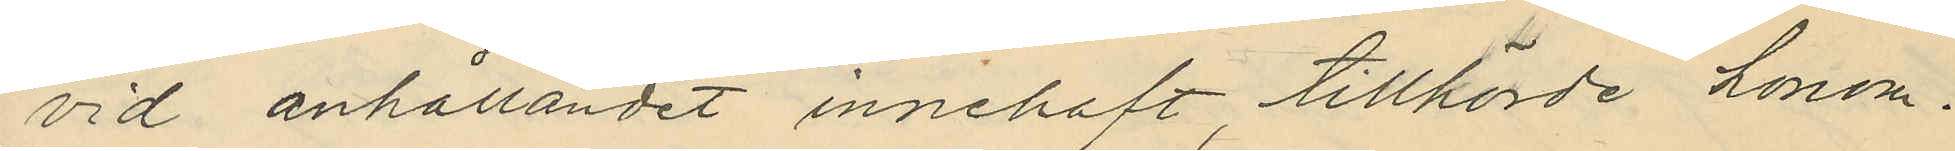vid anhållandet innehaft tillhörde honom
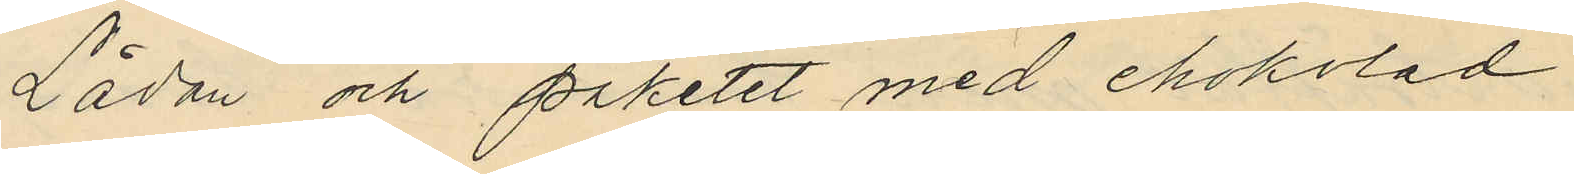Lådan och paketet med chokolad
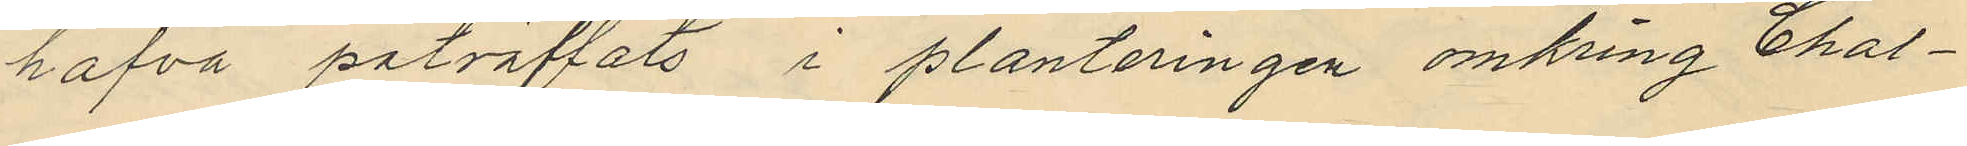hafva påträffats i planteringen omkring Chal¬
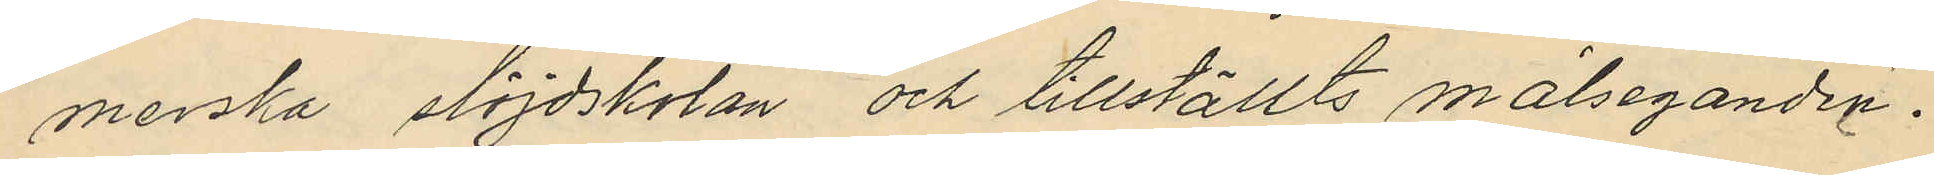merska slöjdskolan och tillställts målseganden.
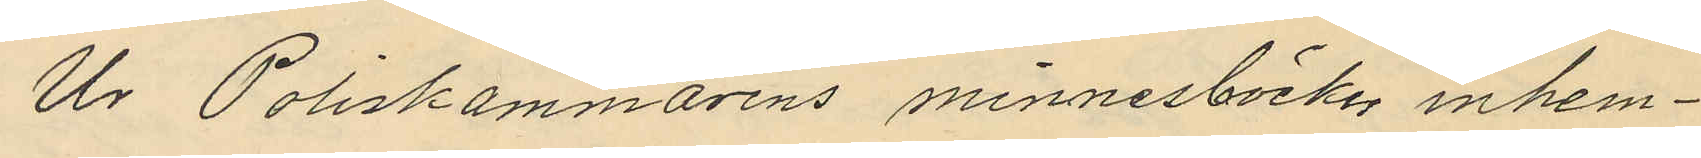Ur Poliskammarens minnesböcker inhem¬
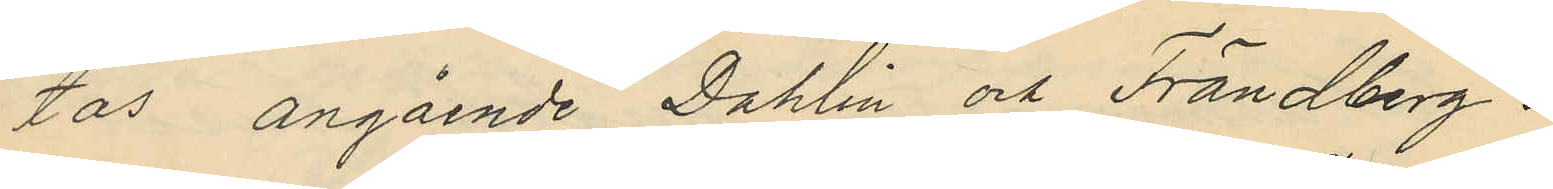tas angående Dahlin och Frändberg:
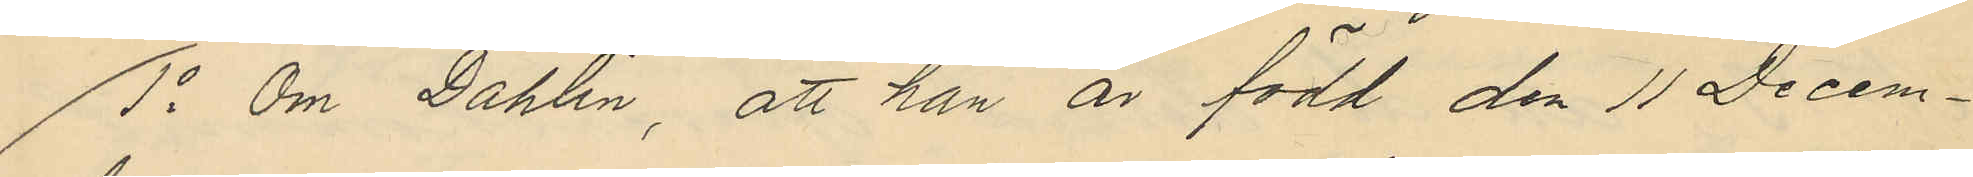1o Om Dahlin, att han är född den 11 Decem¬
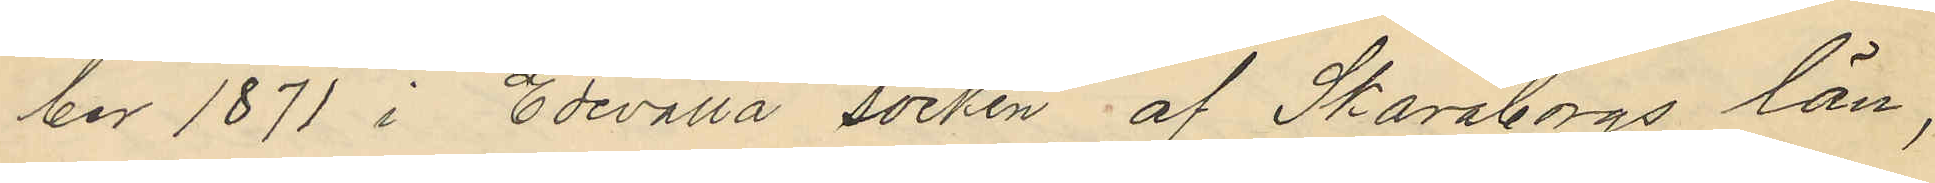ber 1871 i Edevalla socken af Skaraborgs län,
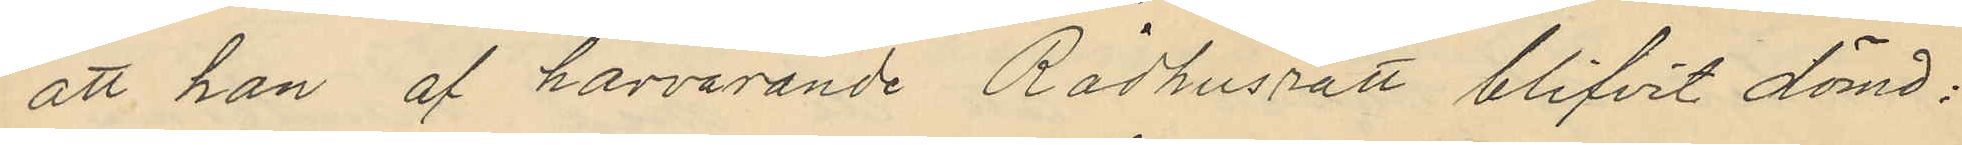att han af härvarande Rådhusrätt blifvit dömd:
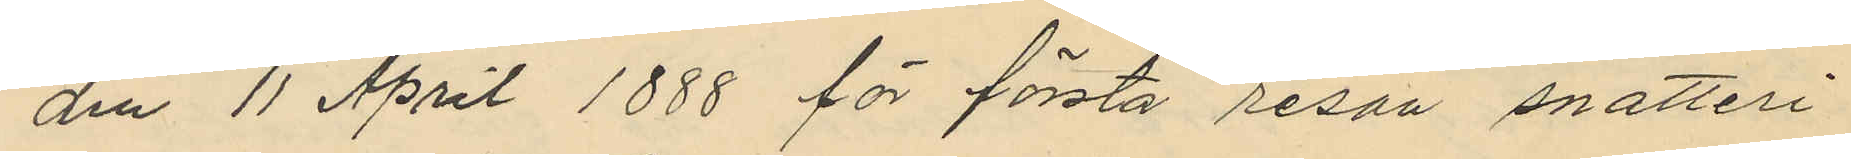den 11 April 1888 för första resan snatteri
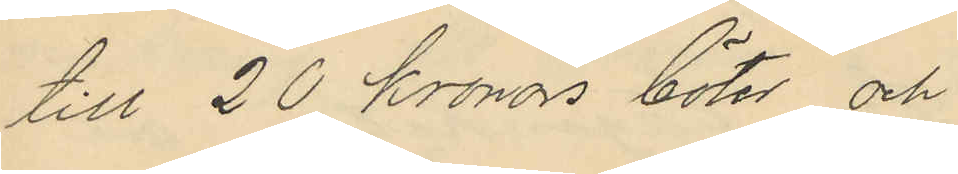till 20 Kronors böter och
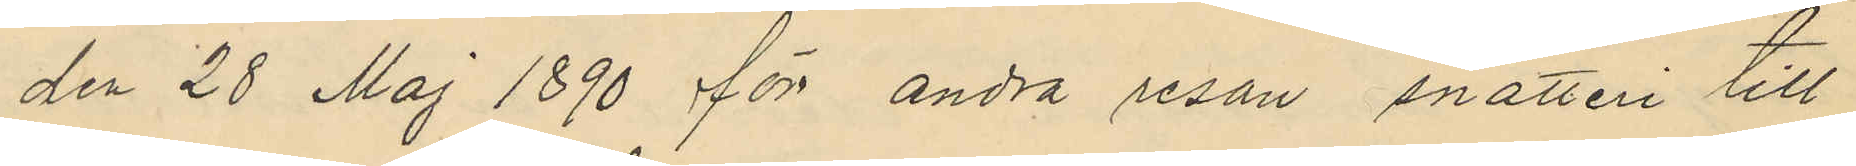den 28 Maj 1890 för andra resan snatteri till
